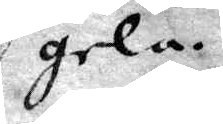gela
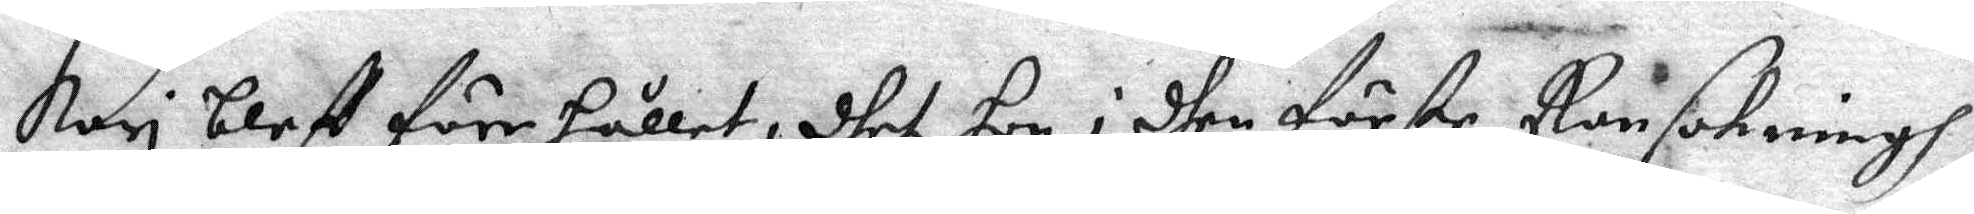Kari bleff förehållet, dhet hon i dhen förste Ransakningh
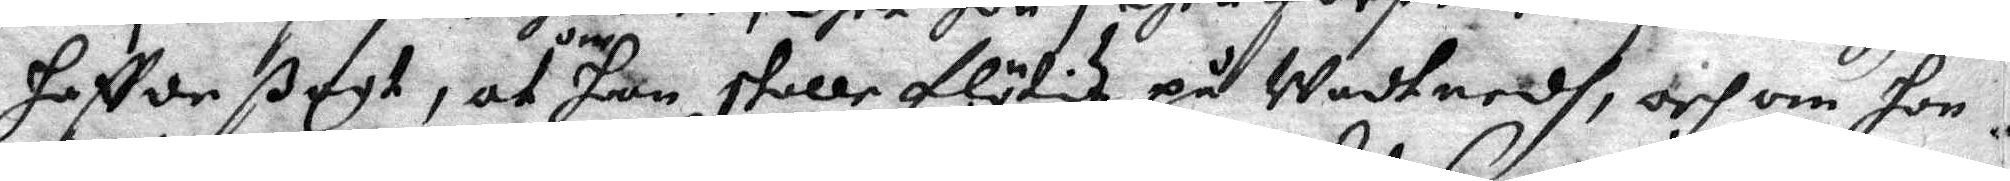haffde ßagt, at om hon skulle flötas på Wadtnedh, och om hon
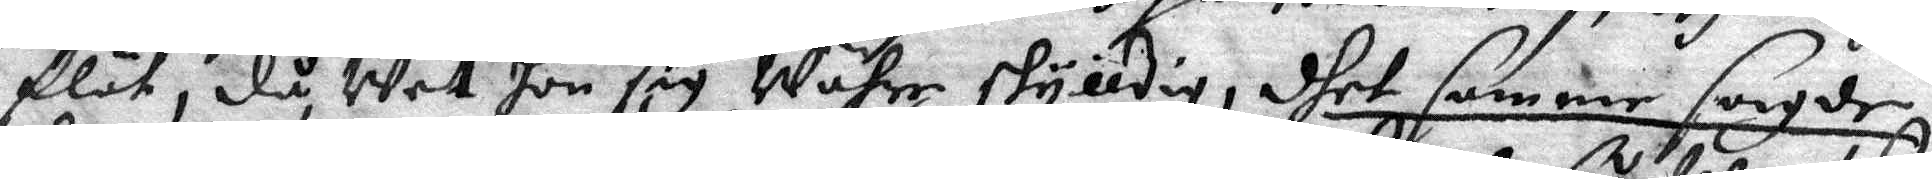flöt, då Wet hon sig Wahre skylldig, dhet samme sagde
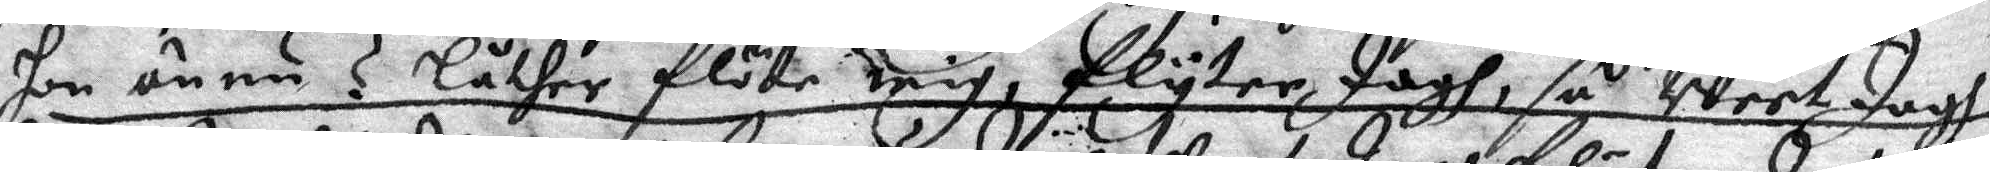hon ännu ? Låther flöta mig, flyter Jagh, så Weet Jagh
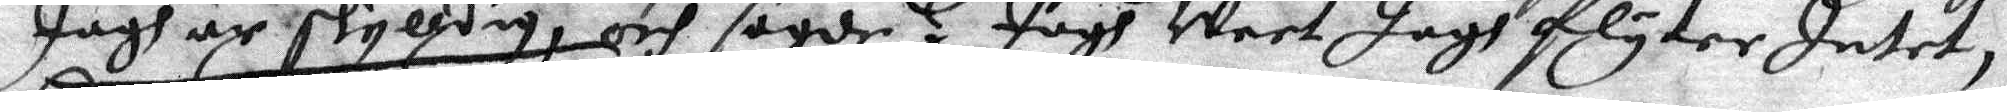Jagh är skylldig, och sagde? Jagh Weet Jagh flyter Intet,
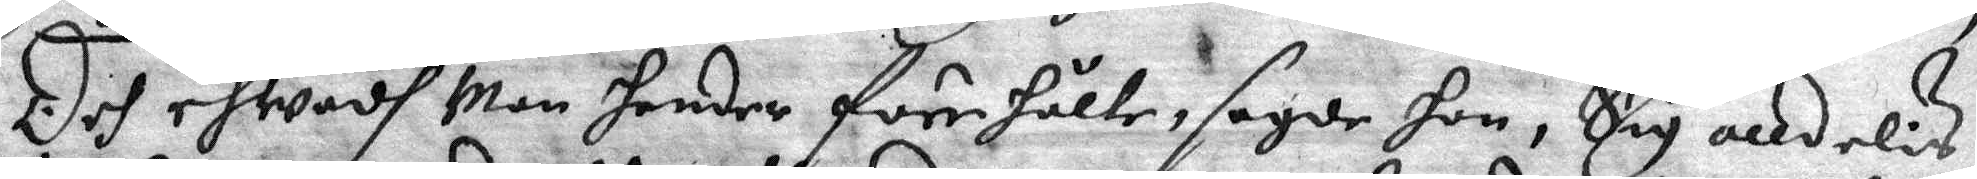Och ehwadh Man hender förehålle, sagde hon, Sig alldeles
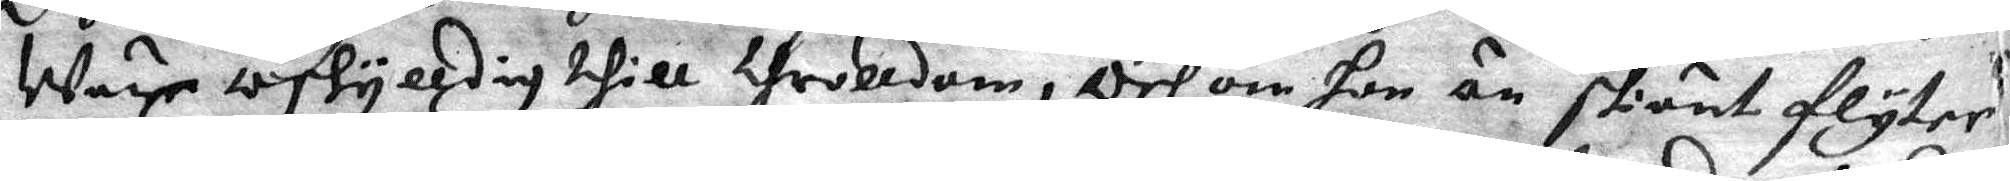Ware oskylldig thill throlldom, Och om hon än skiönt flyter
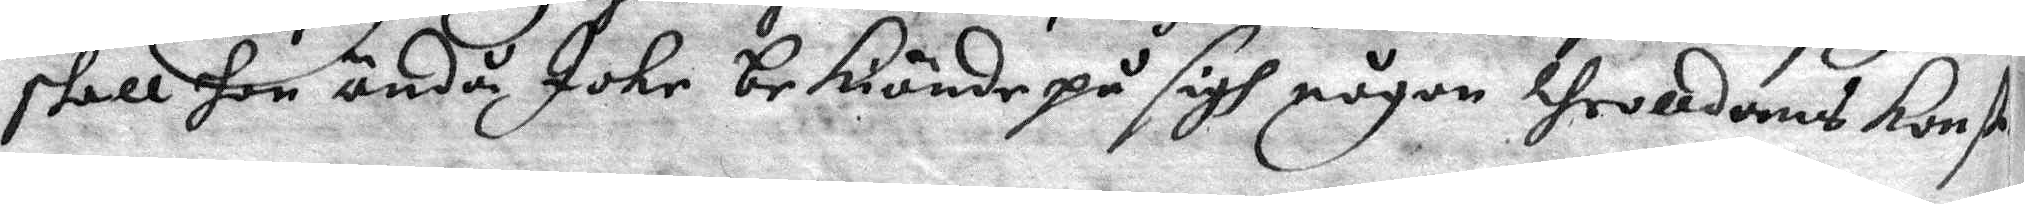skall hon ändå icke bekiände på sigh någon throlldoms Konst.
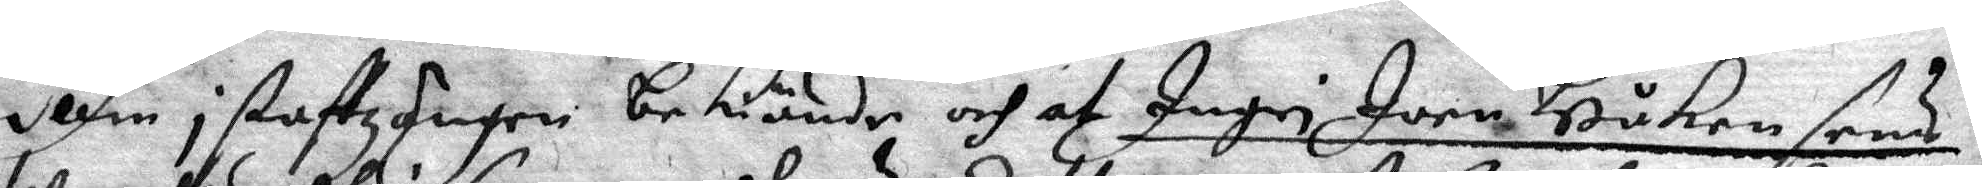Ellin i staffzängen bekiände och at Ingri Joen Håken sons
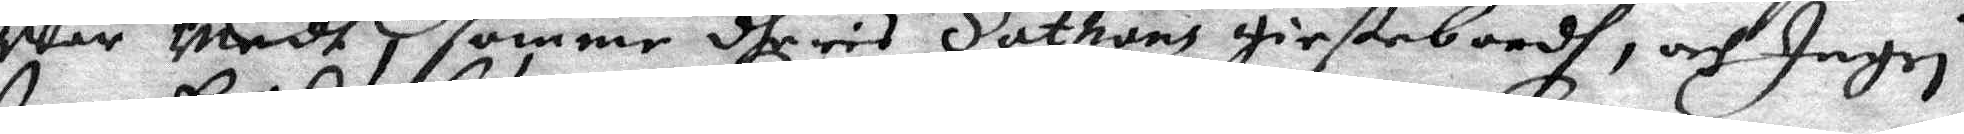War Medh i samme dheres Sathans Giestebordh, och Ingri
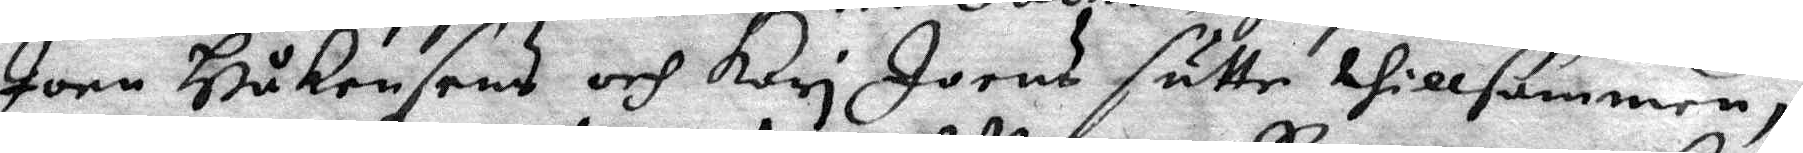Joen Håkensens och Kari Joens sutte tillsammen,
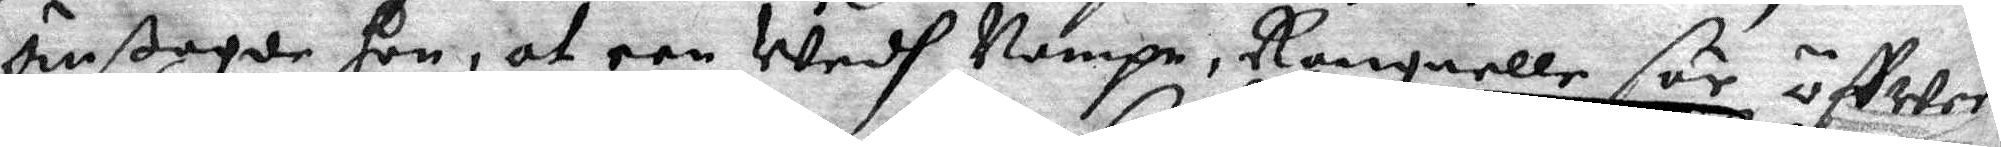än ßagde hon, af een Wedh Nampn, Rangnelle för öffwer
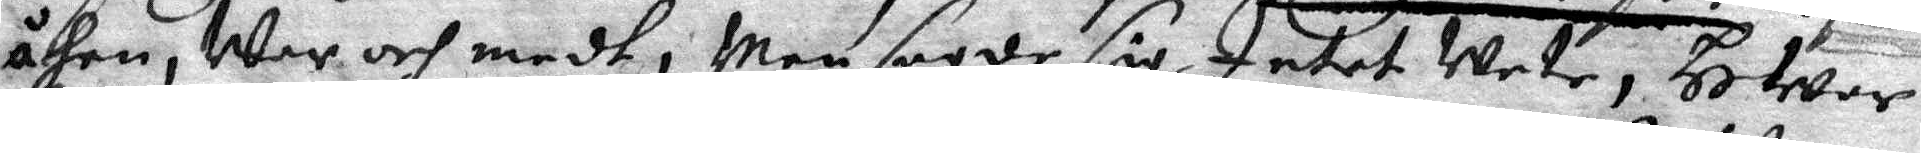åhen, War och medh; Men sagde sig Intet Wete, HWar
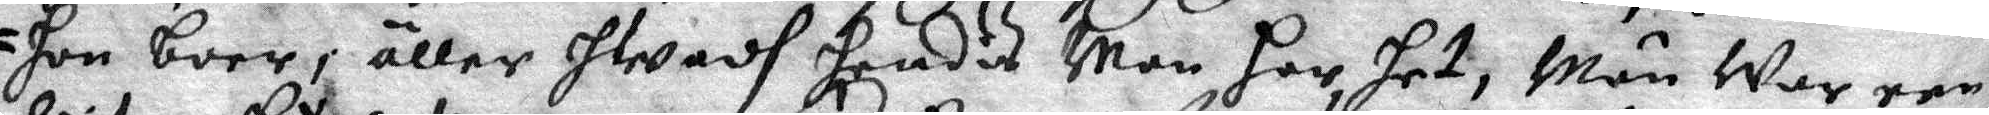hon boer, äller hwadh hendes Man har het, Män War een
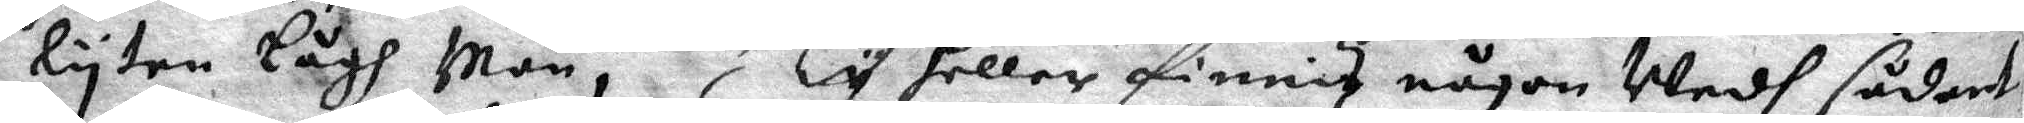lyten Lågh Man, Ty heller finnis någon Wedg sådant
